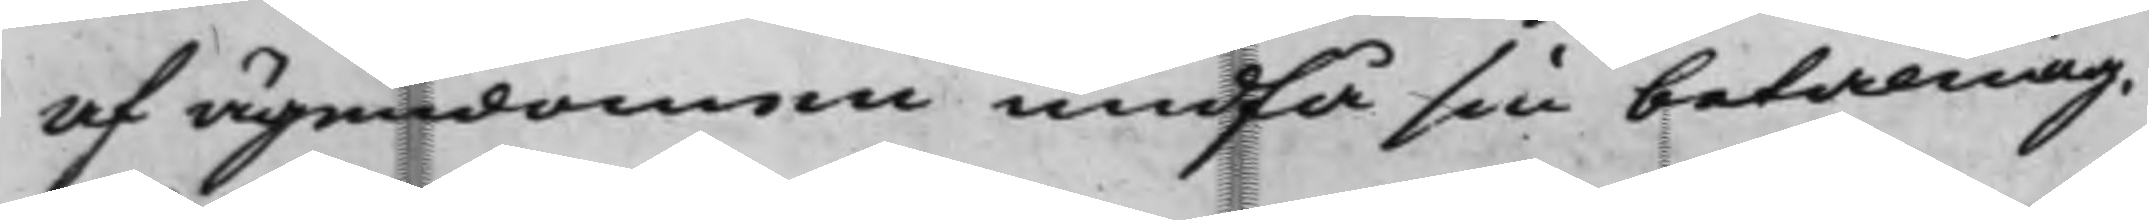af ägendomen undfå sin betalning.
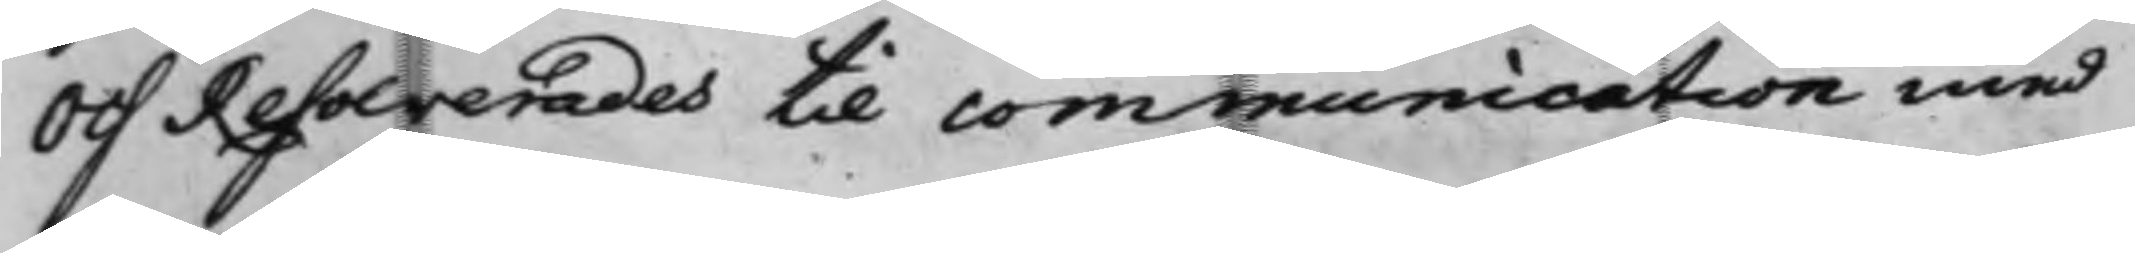Och Resolverades til communication med
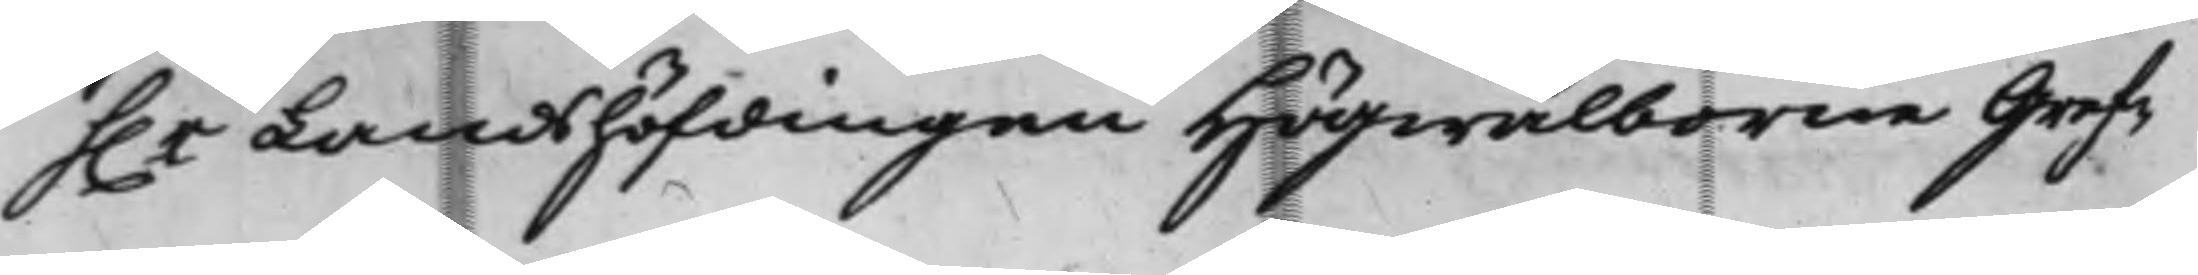h.r Landshöfdingen Högwälborne Gref¬
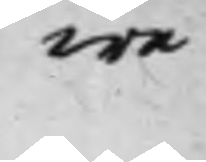we
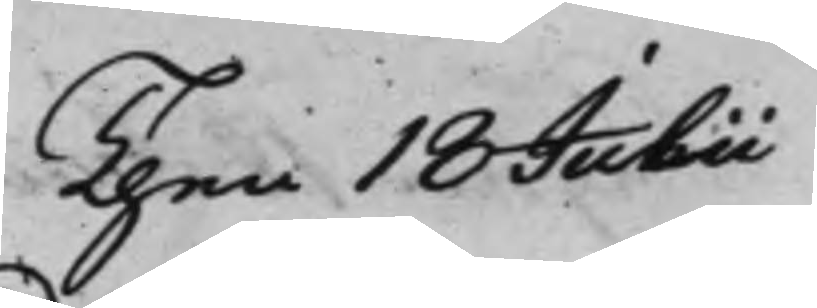Then 18 Julii
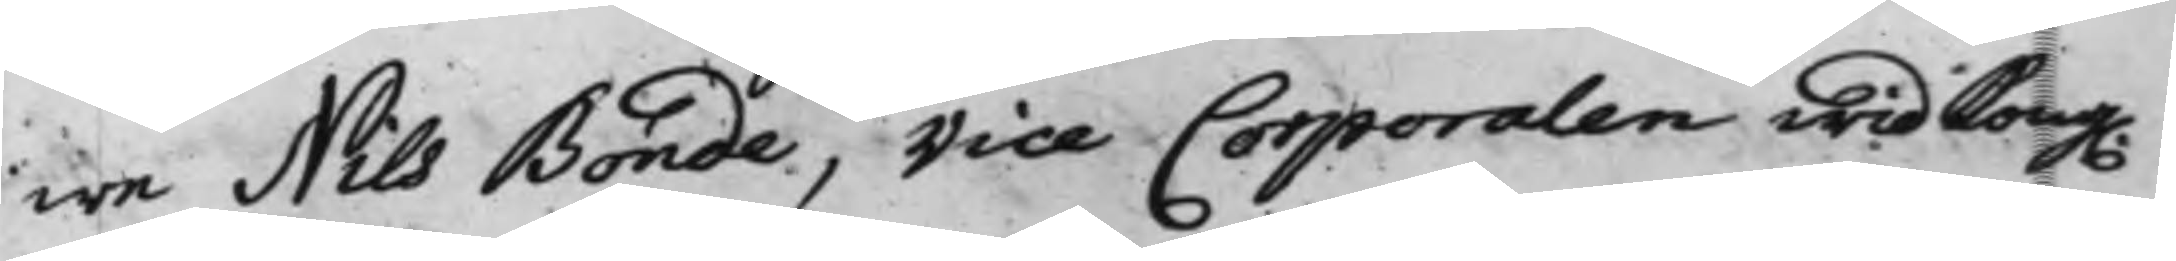we Nils Bonde, Vice Corporalen wid Kong.
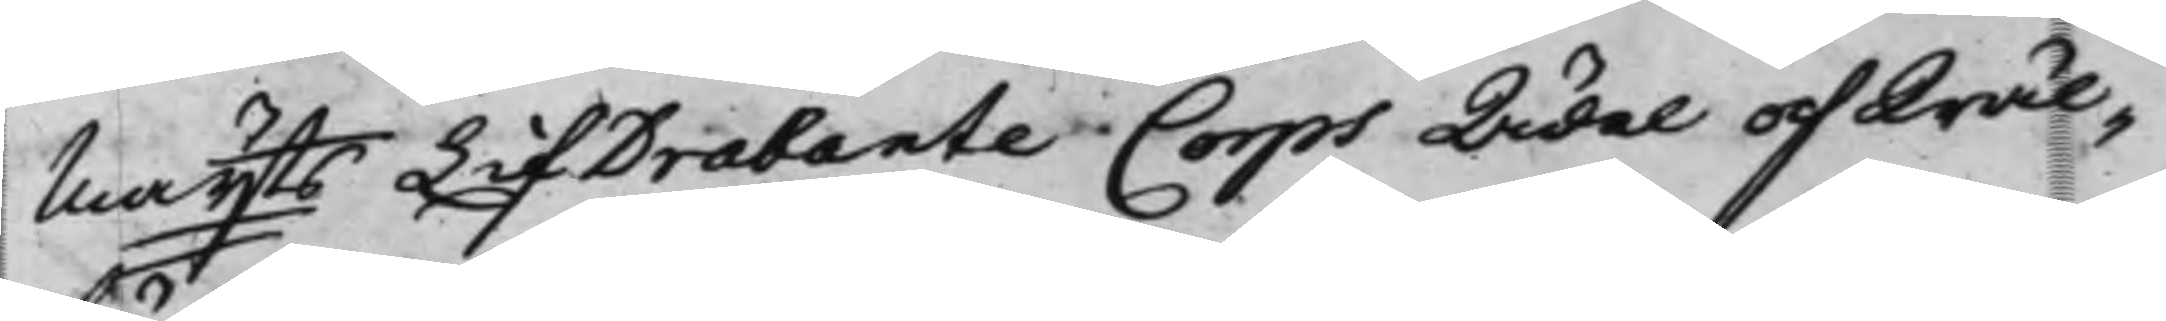Maytts LifDrabante Corps Ädel och Wäl¬
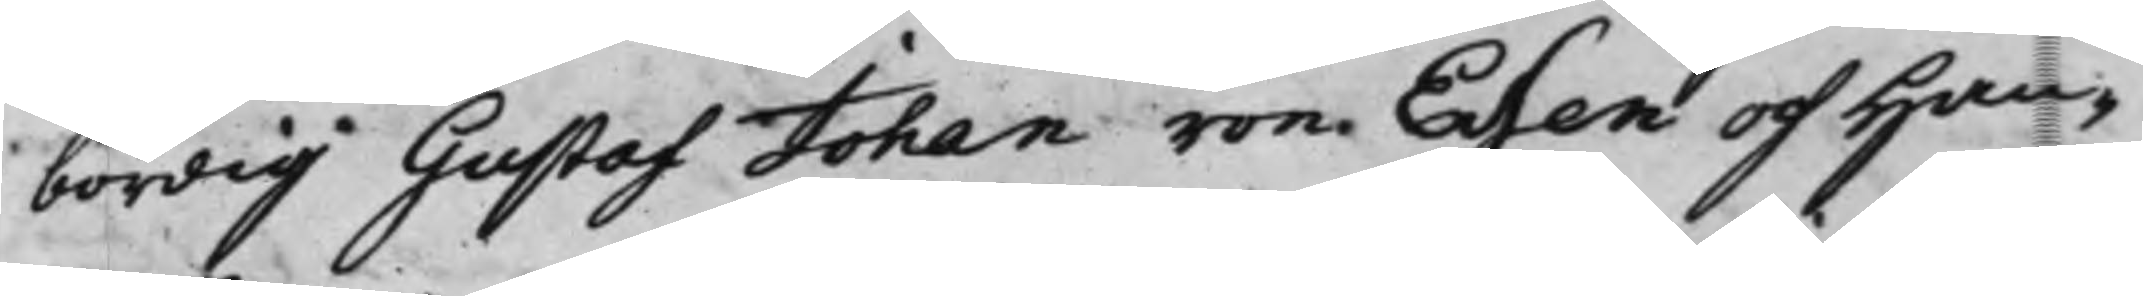bördig Gustaf Johan von Essen  och Han¬
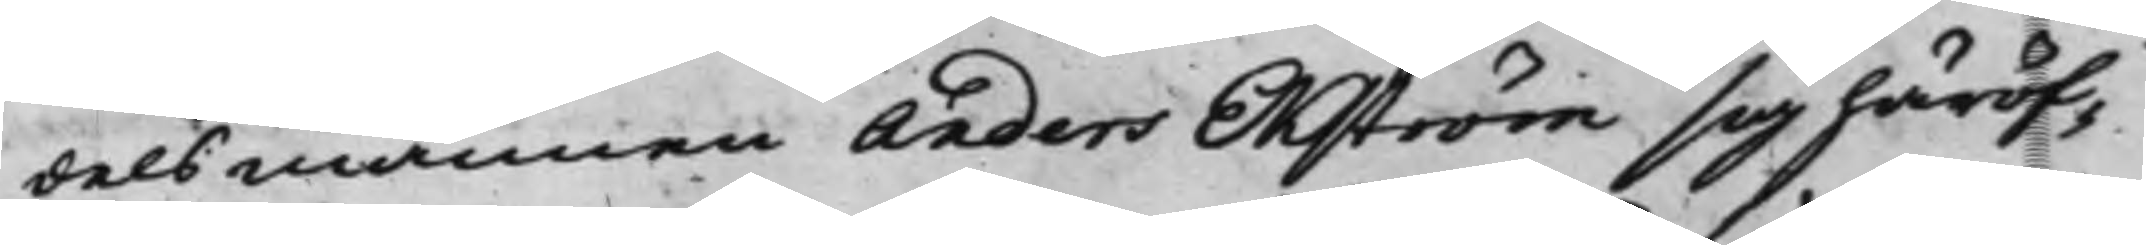delsmannen Anders Ekström sig häröf¬
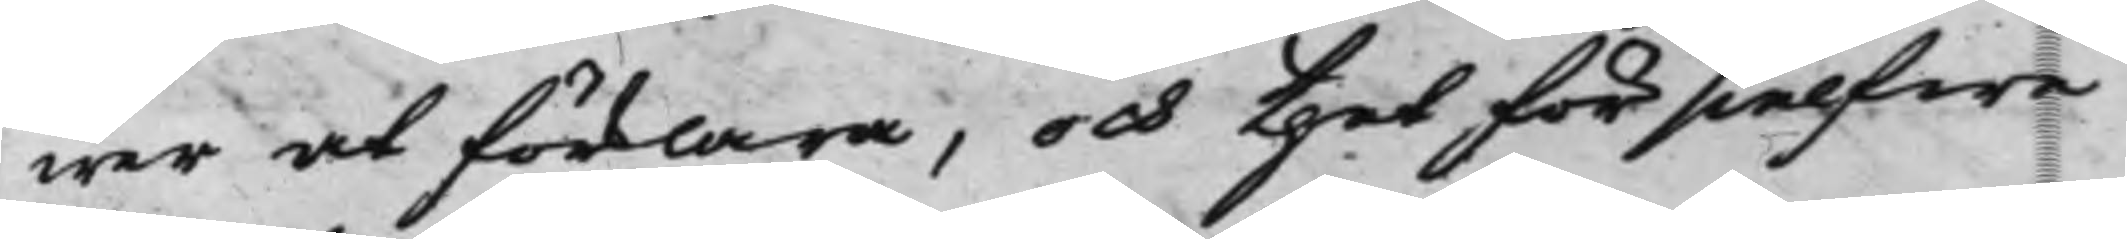wer at förklara, och thet för sielfwe
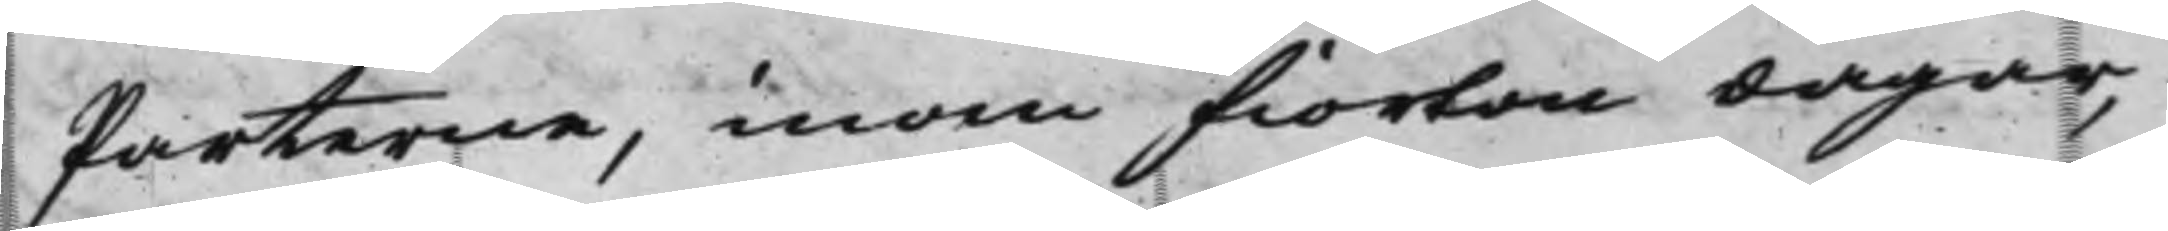Parterne, inom fiorton dagar,
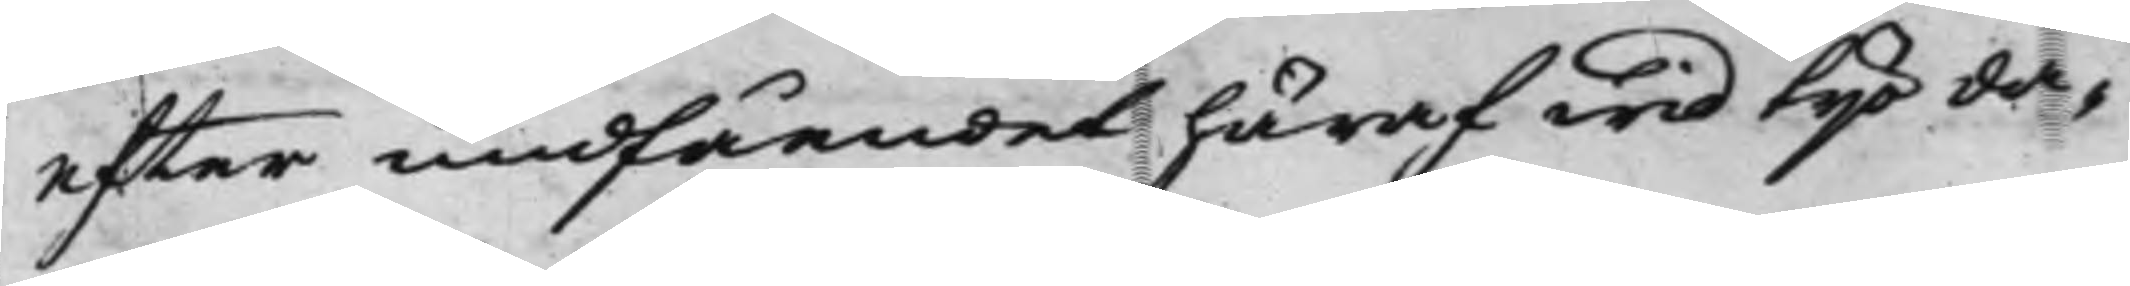efter undfåendet häraf wid tijo da¬
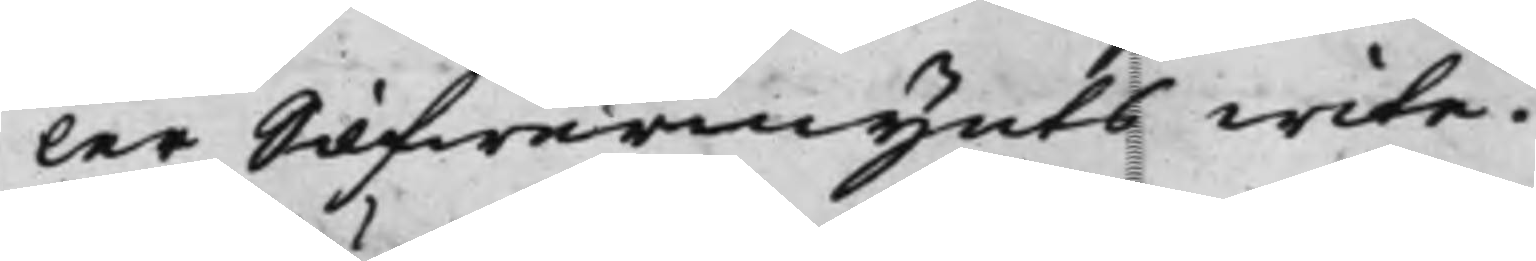ler Silfwermynts wite.
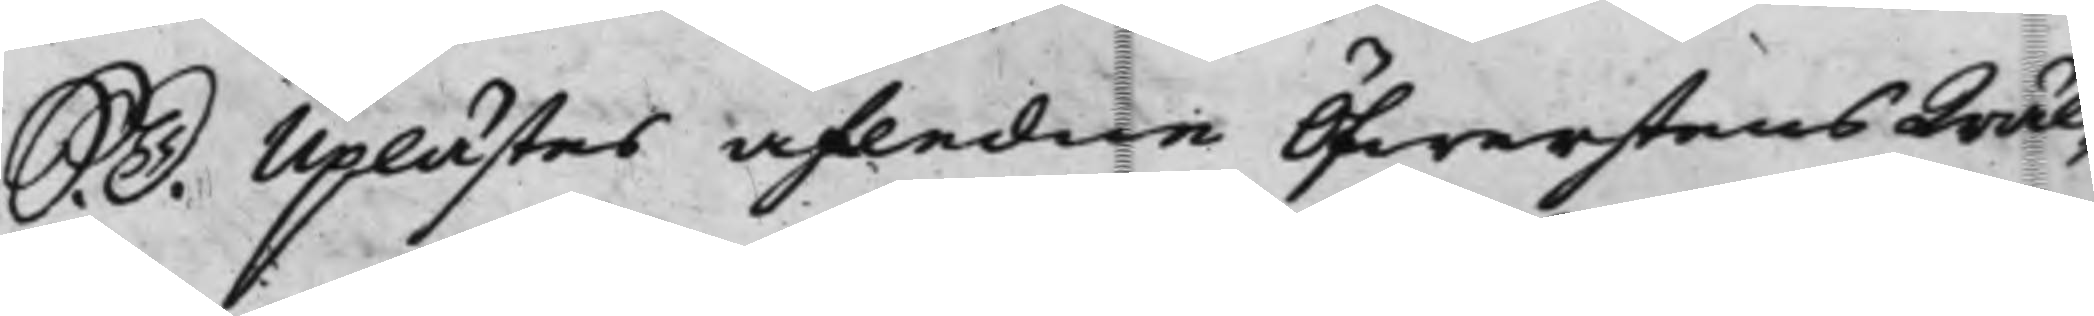S. D. Uplästes afledne Öfwerstens Wäl¬
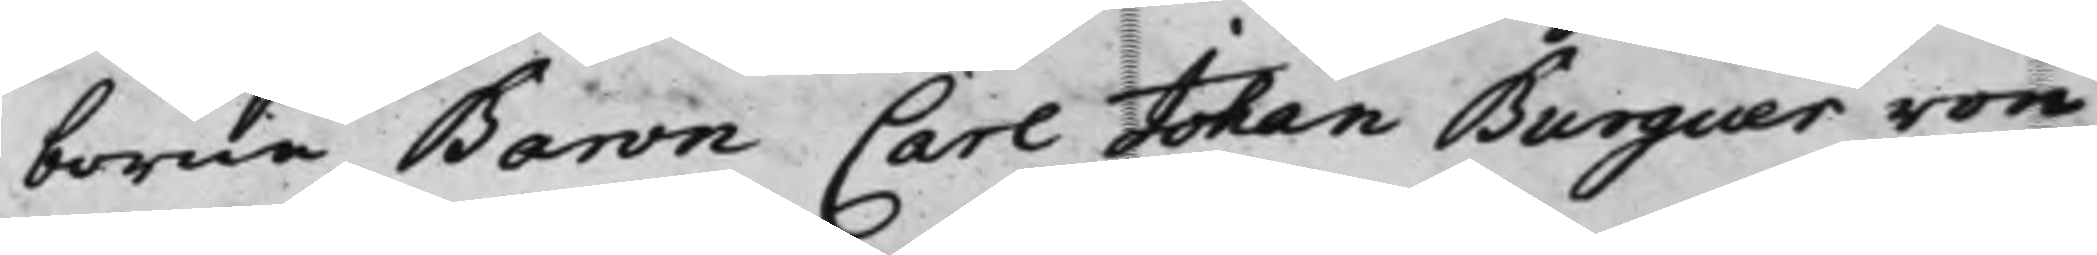borne Baron Carl Johan Burguer von
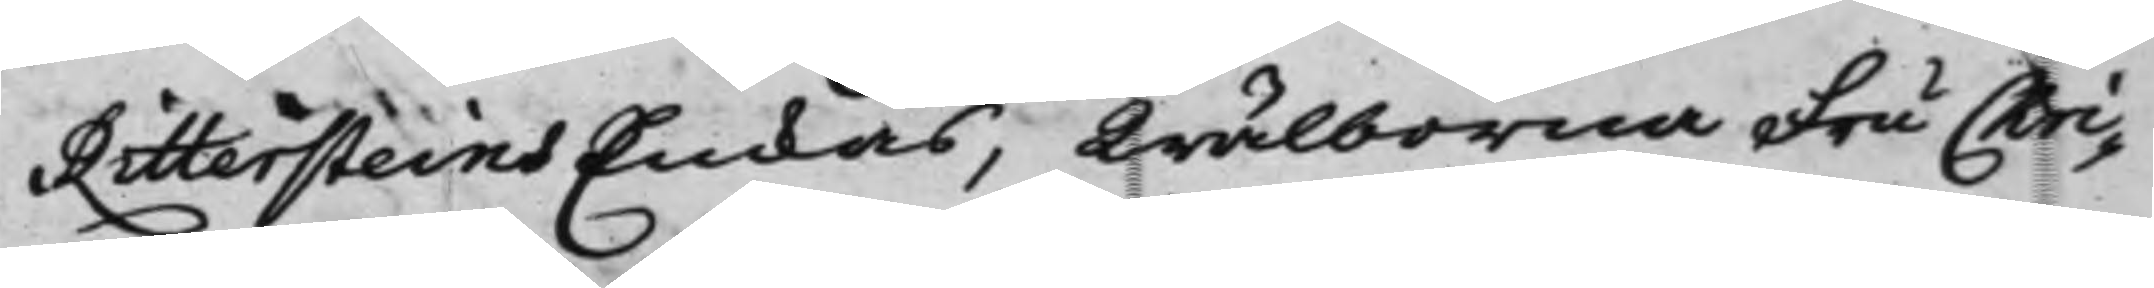Rittersteins Enkas, Wälborna Fru Chri¬
